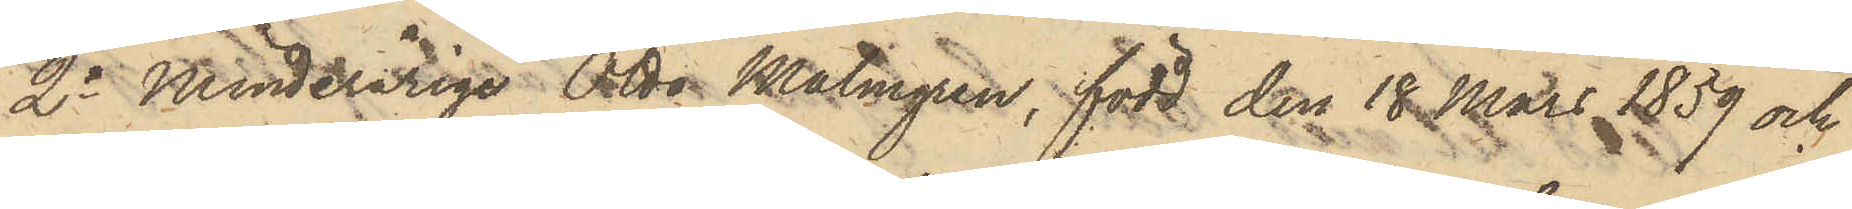2o Minderårige Otto Malmgren, född den 18 Mars 1859 och
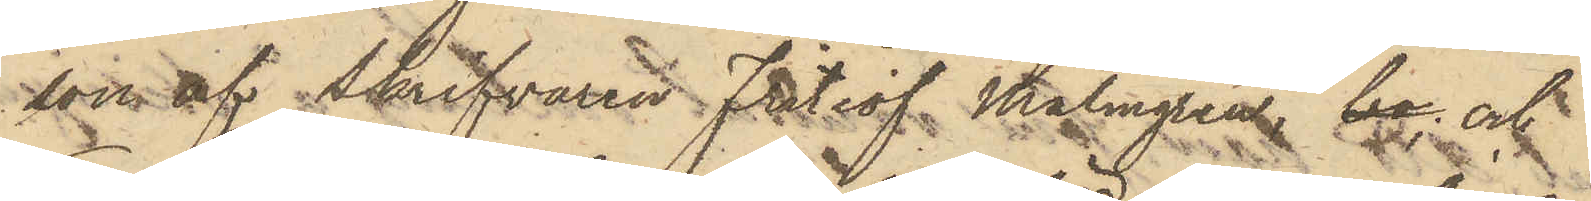son af Skrifvaren Fritiof Malmgren; bo och
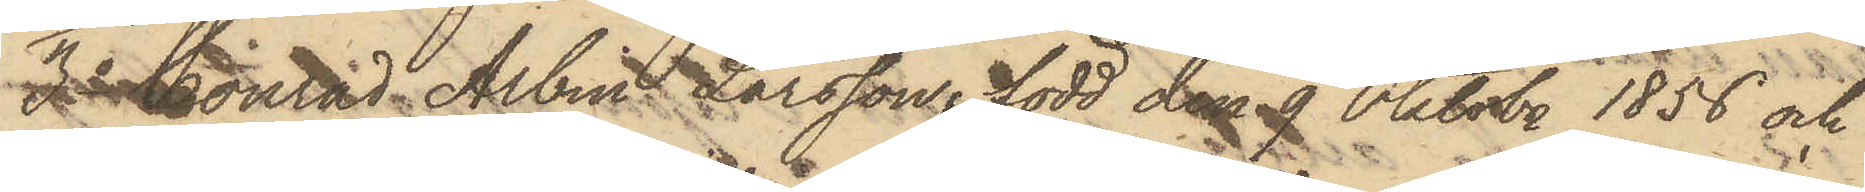3o Konrad Albin Larsson, född den 9 Oktober 1856 och
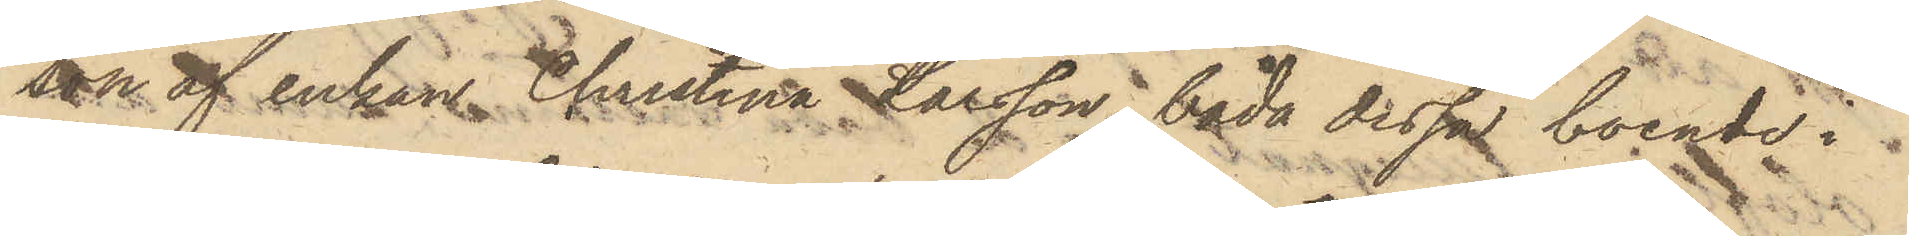son af enkan Christina Larsson, båda dessa boende i
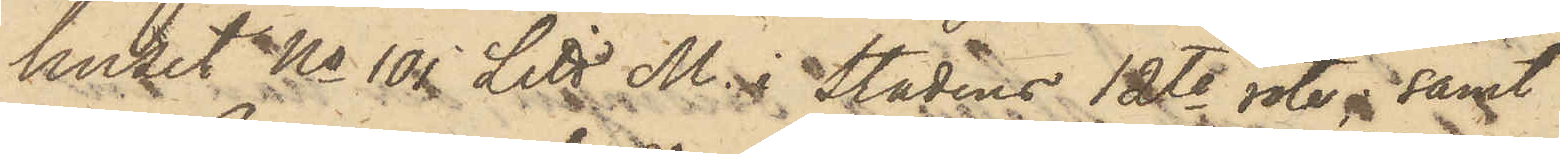huset No 101 Litt. M. i Stadens 12te rote, samt
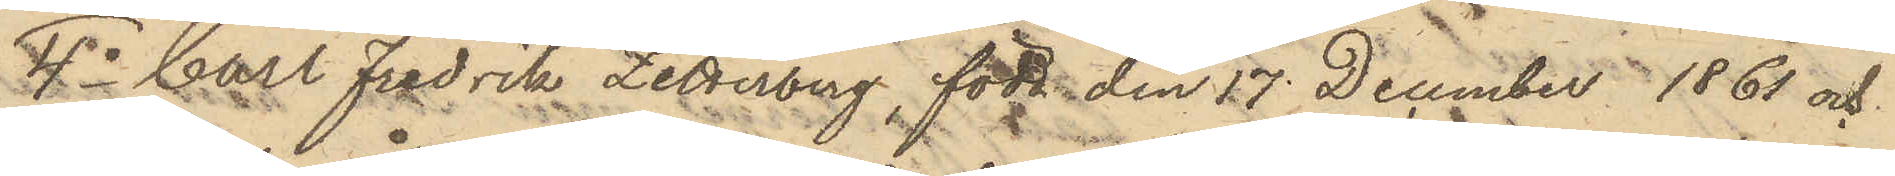4o Carl Fredrik Zetterberg, född den 17 December 1861 och
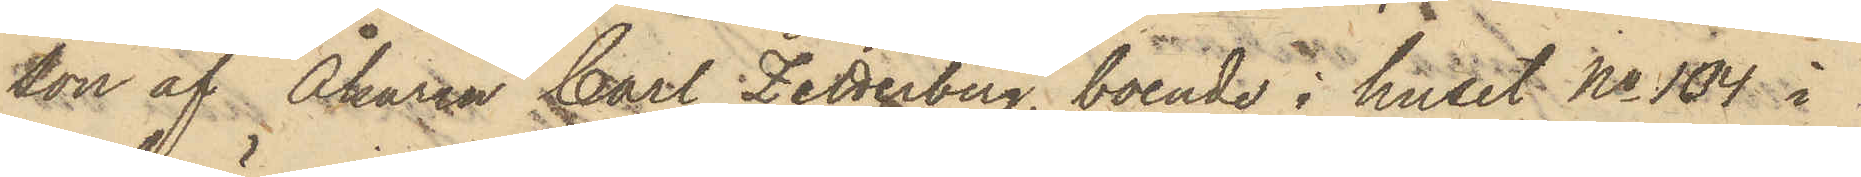son af Åkaren Carl Zetterberg, boende i huset No 104 i
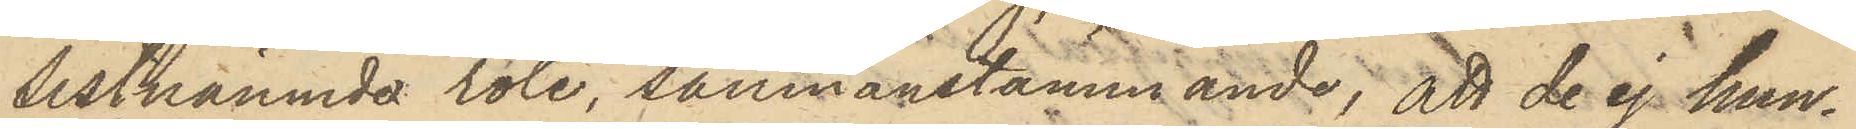sistnämnde rote, sammanstämmande, att de ej hun¬
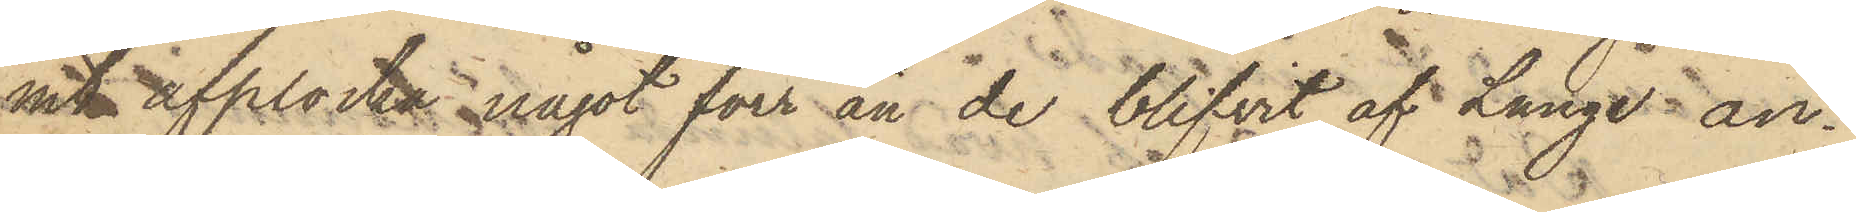mit upplocka något förr än de blifvit af Lange an¬
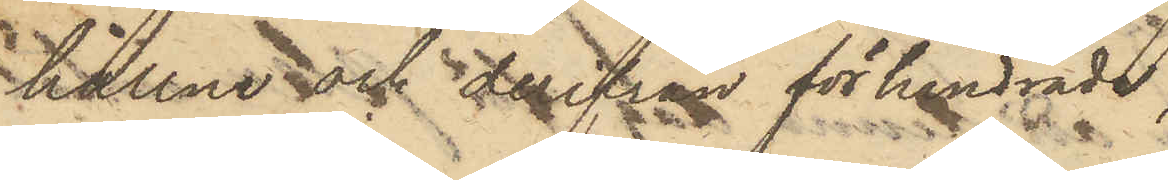hållne och derifrån förhindrade.
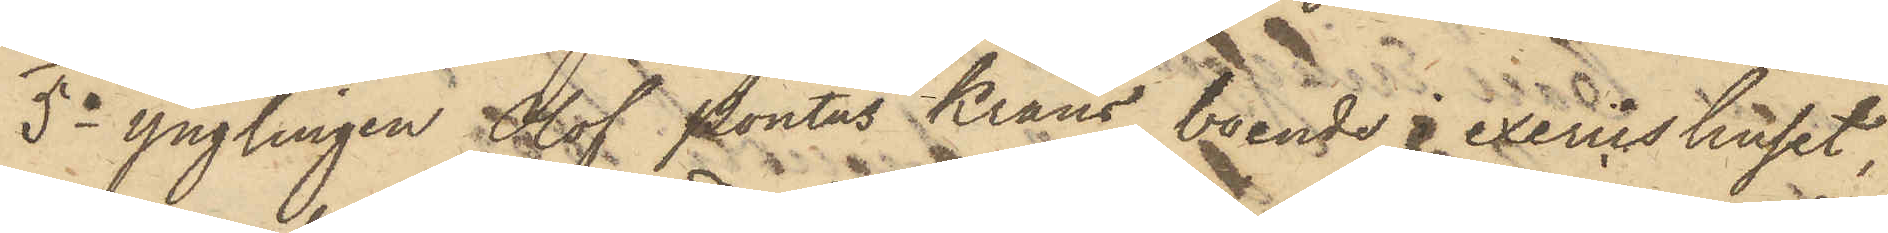5o Ynglingen Olof Pontus Krans, boende i exercishuset,
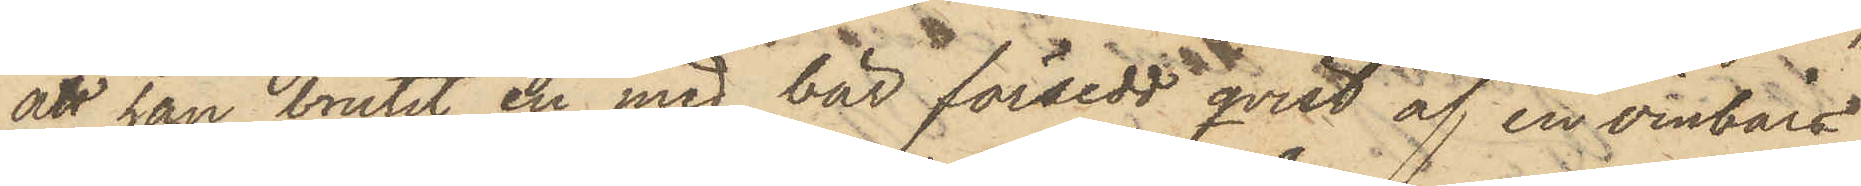att han brutit en med bär försedd qvist af en vinbärs¬
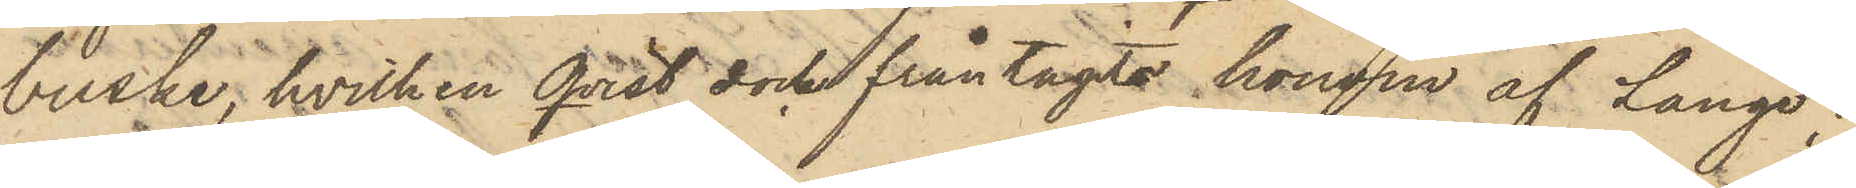buske, hvilken Qvist dock fråntagits honom af Lange;
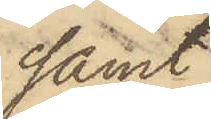samt
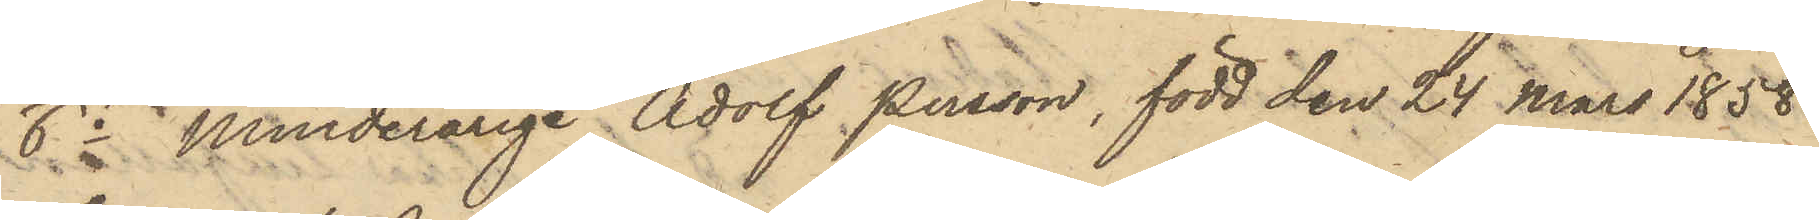6o Minderårige Adolf Persson, född den 24 Mars 1858
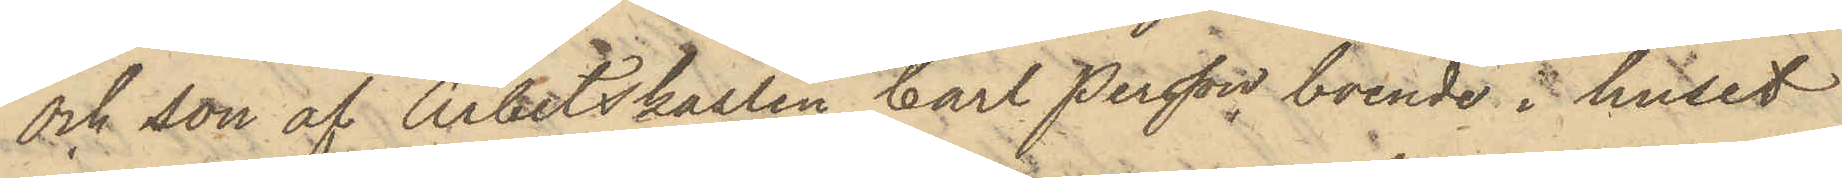och son af Arbetskarlen Carl Persson boende i huset
